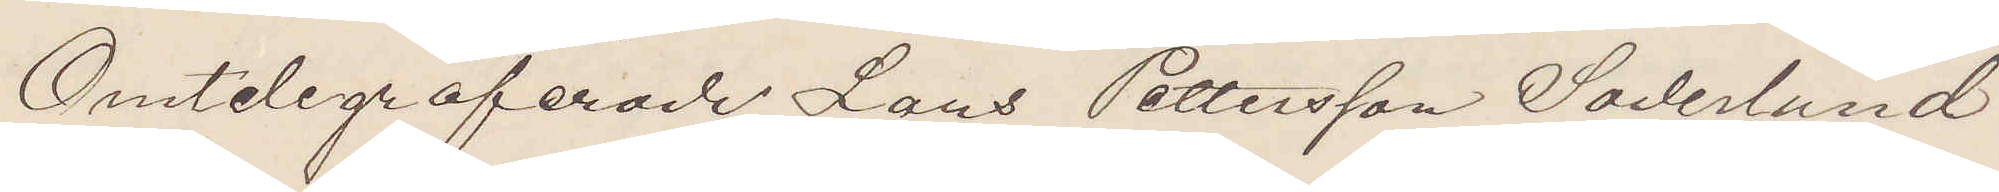Omtelegraferade Lars Pettersson Söderlund
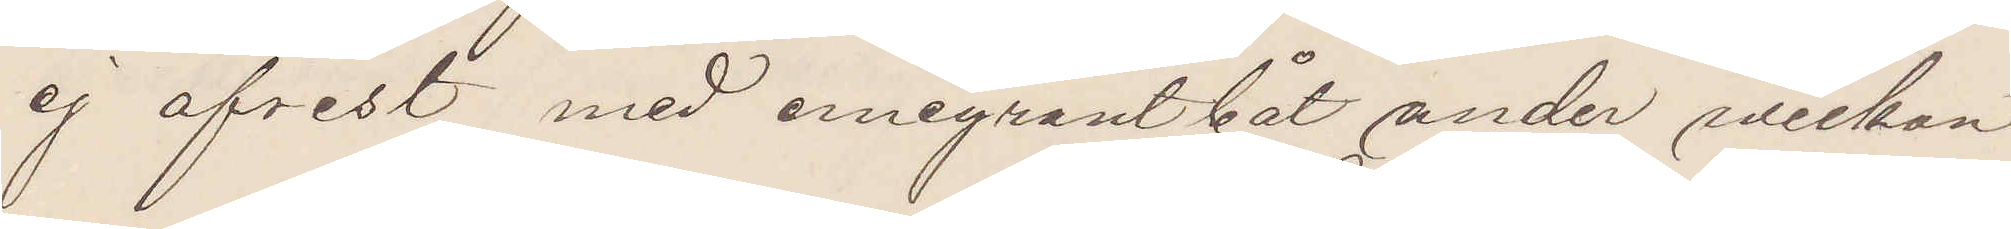ej afrest med emigrantbåt under veckan
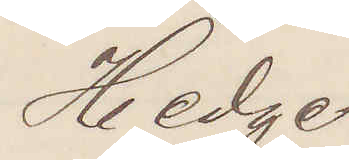Hedge
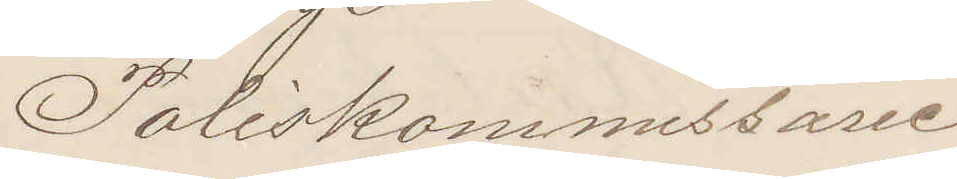Poliskommissarie.
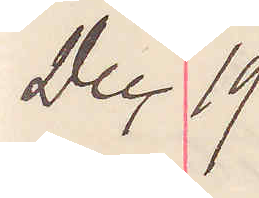Dec 19
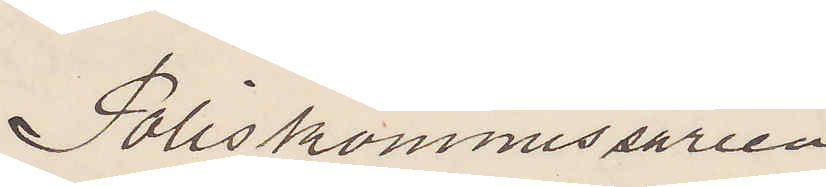Poliskommissarien
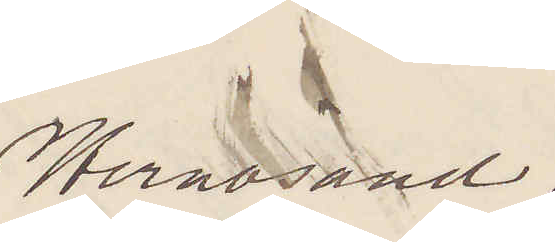Hernösand.
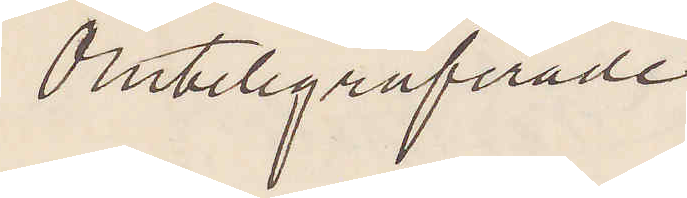Omtelegraferade
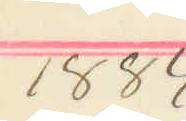1884
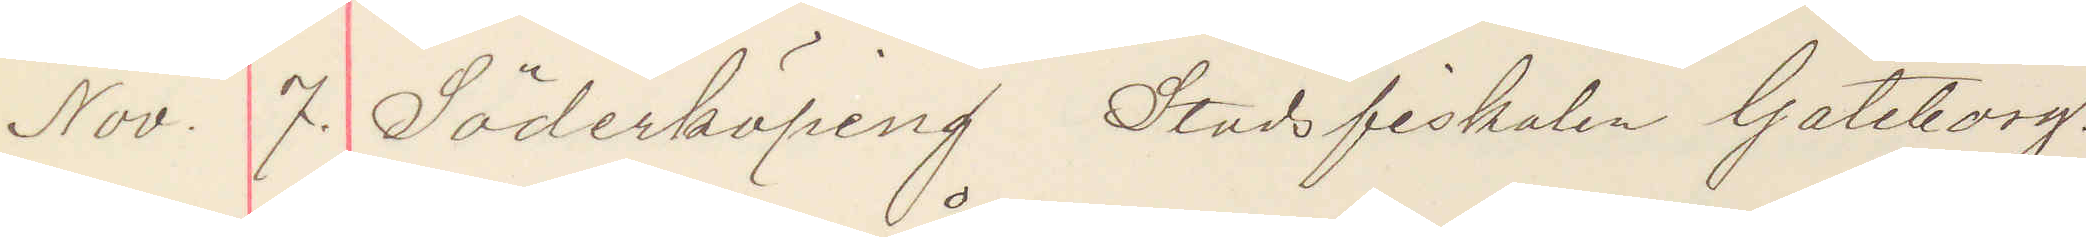Nov. 7. Söderköping Stadsfiskalen Göteborg.
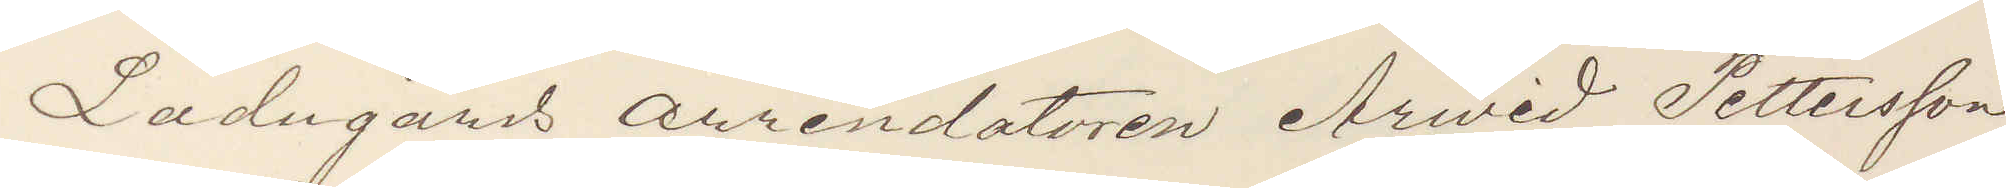Ladugårds arrendatoren Arwid Pettersson,
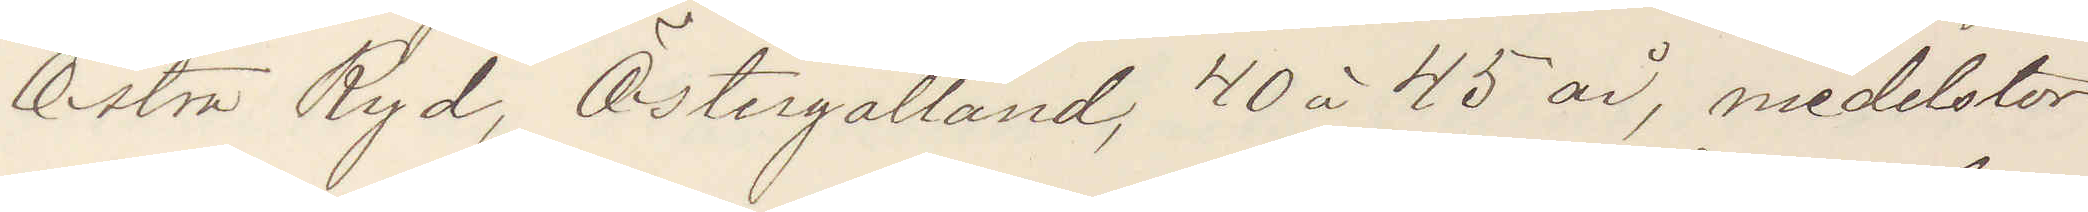Östra Ryd, Östergötland, 40 à 45 år, medelstor
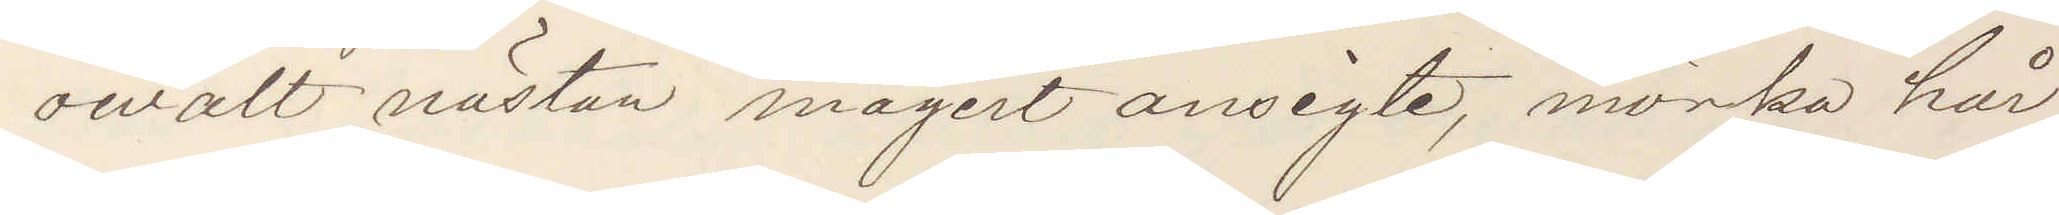owalt nästan magert ansigte, mörka hår,
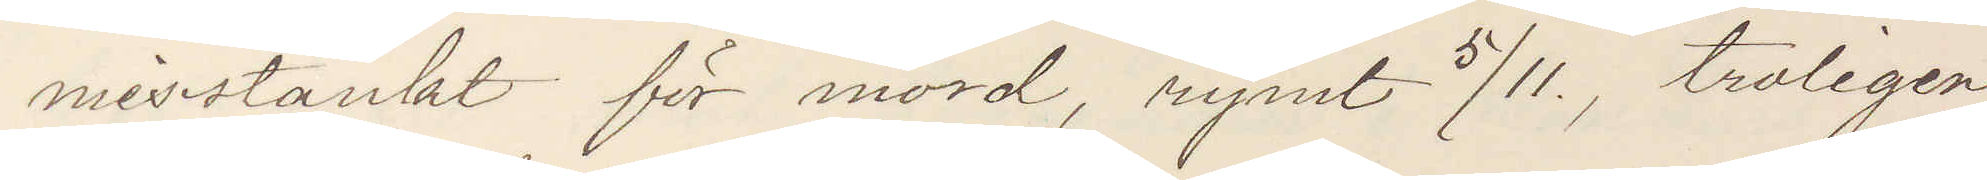misstänkt för mord, rymt 5/11, troligen
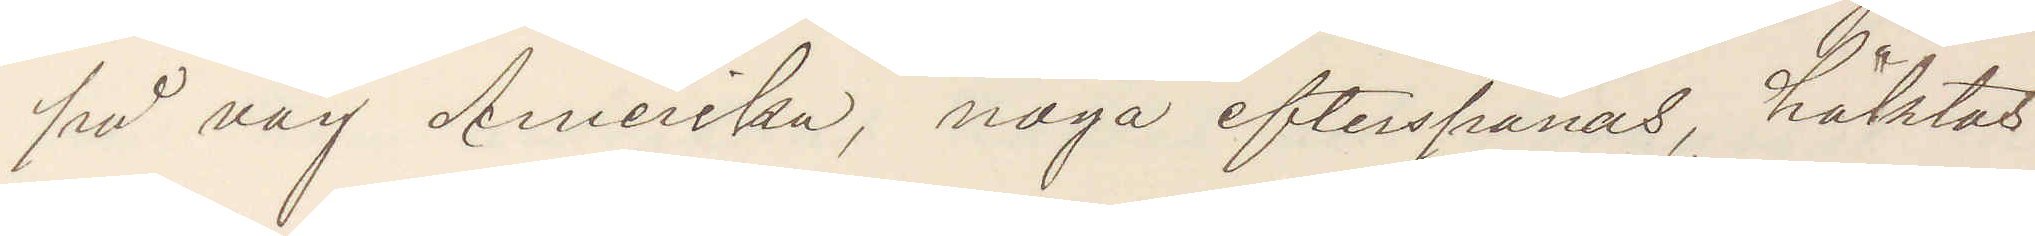på väg Amerika, noga efterspanas, häktas
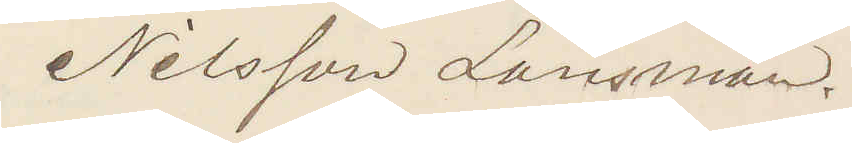Nilsson Länsman.
